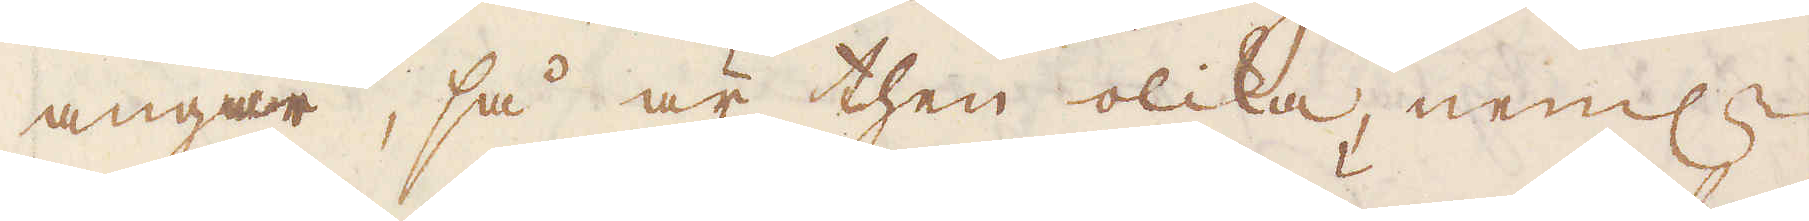angår, så är then olika, neml:n
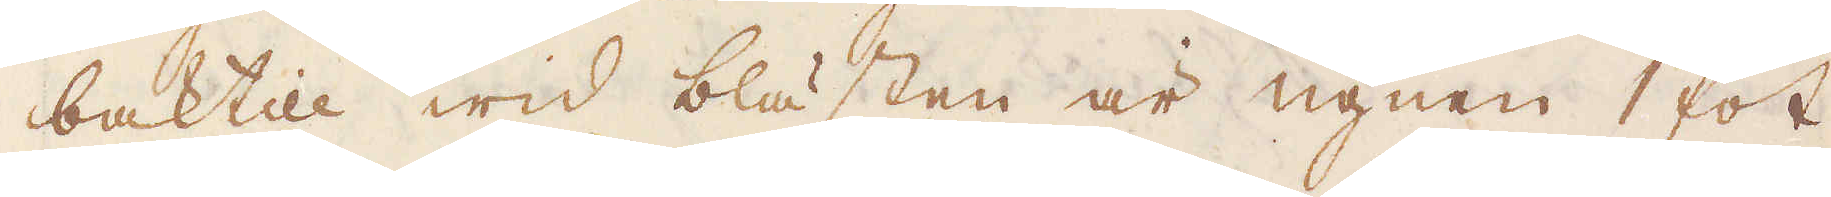baktill wid blästen är ugnen 1 fot
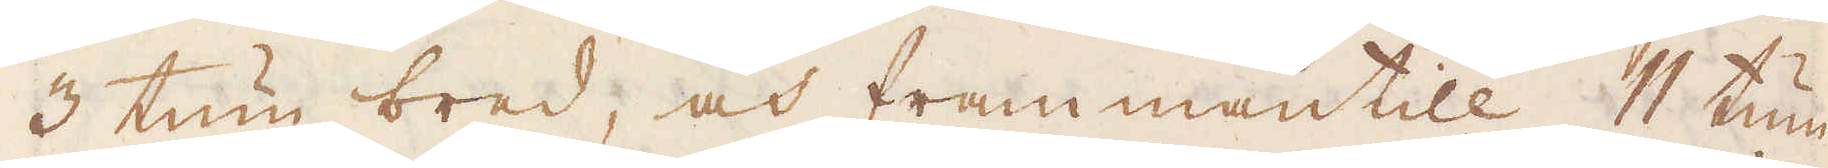3 tum bred, och frammantill 11 tum
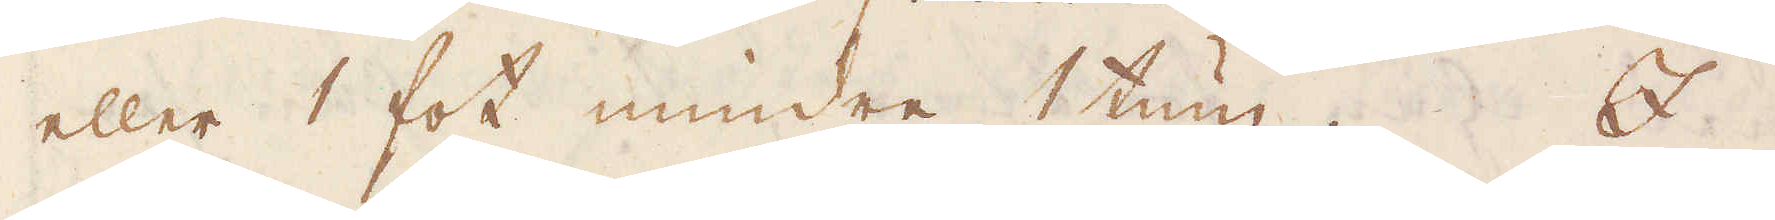eller 1 fot mindre 1 tum. I
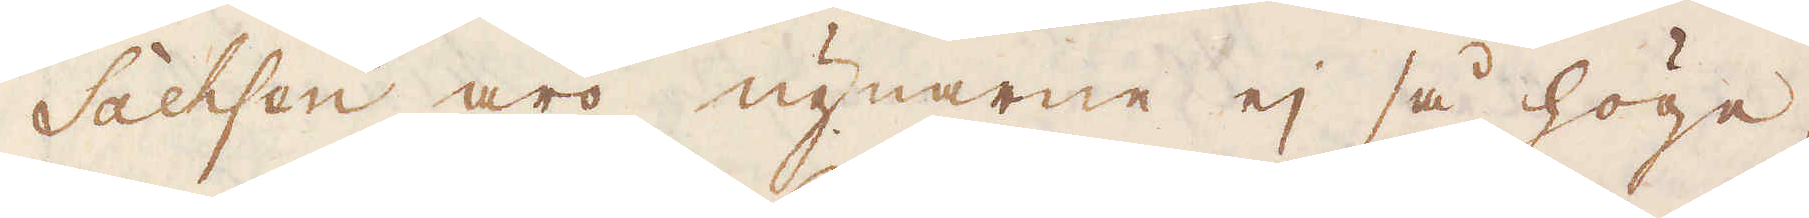Sachsen äro ugnarne ej så höge,
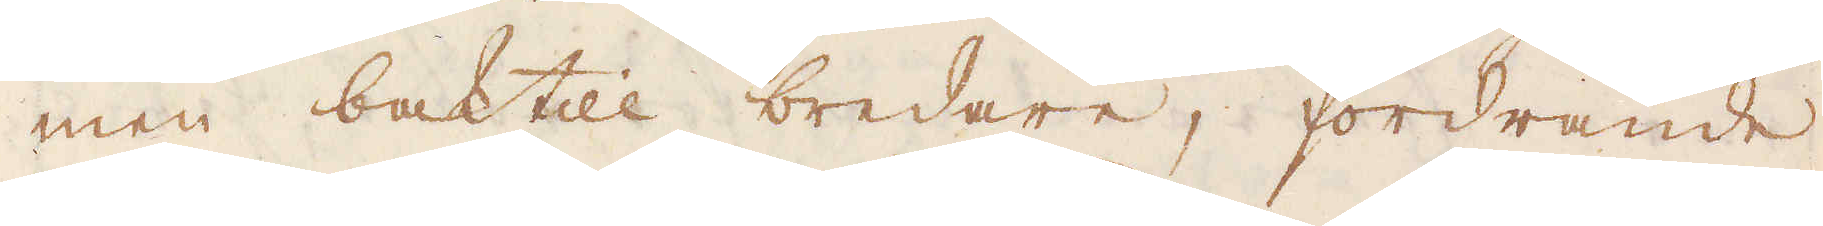men baktill bredare, fordrande
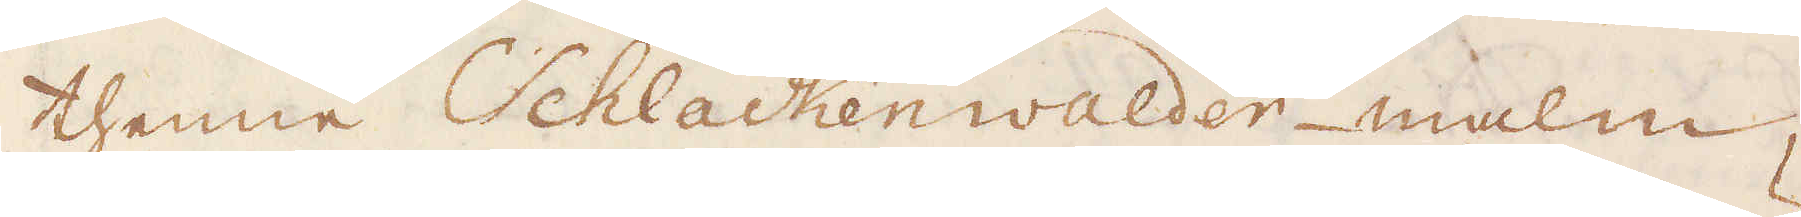thenne Schlackenwalder-malm,
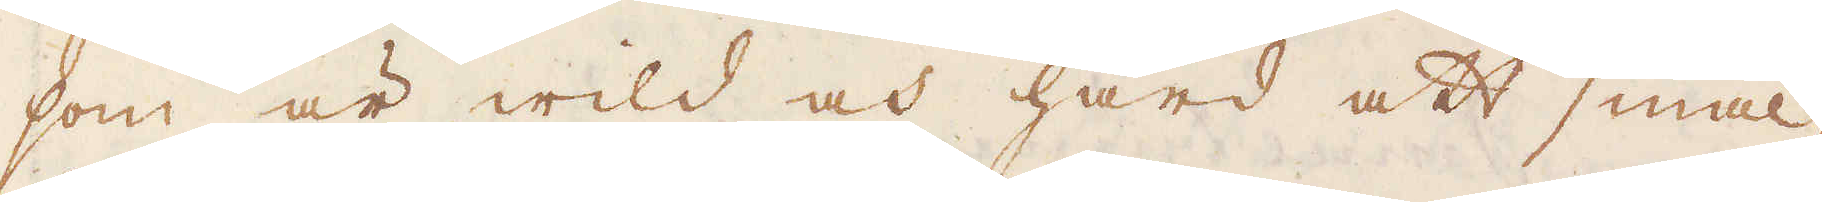som är wild och hård att smäl-
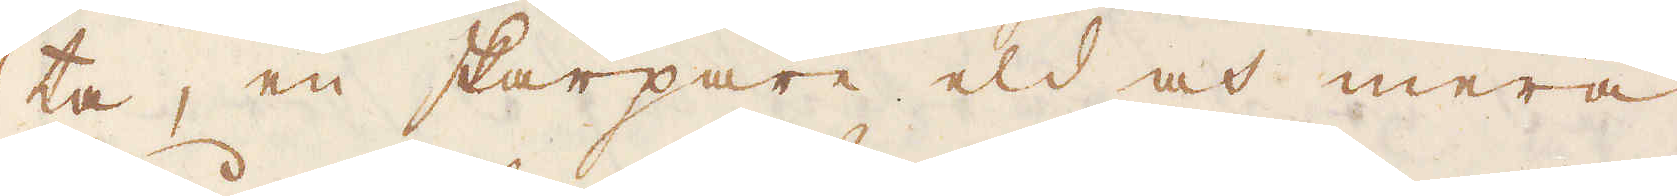ta, en skarpare eld och mera
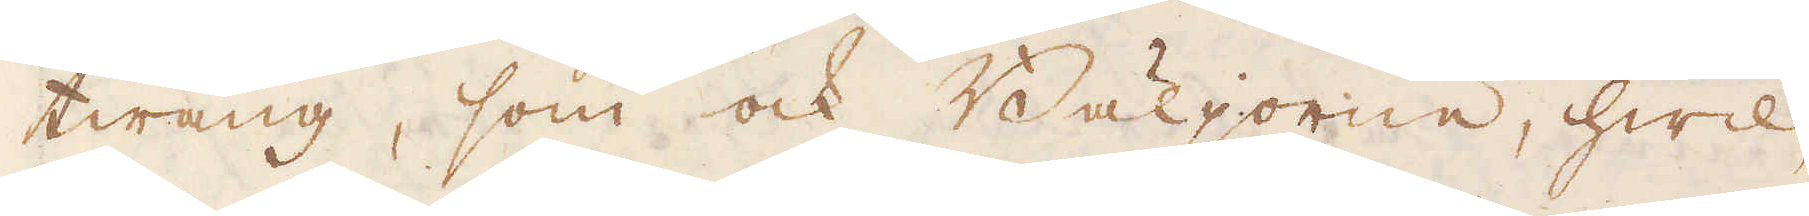twång, som ock Bäljorne, hwil-
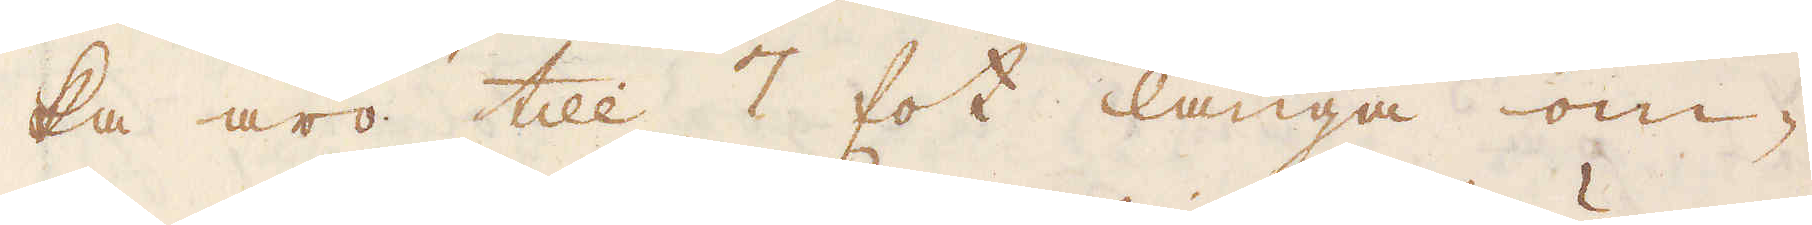ka äro till 7 fot långa om-
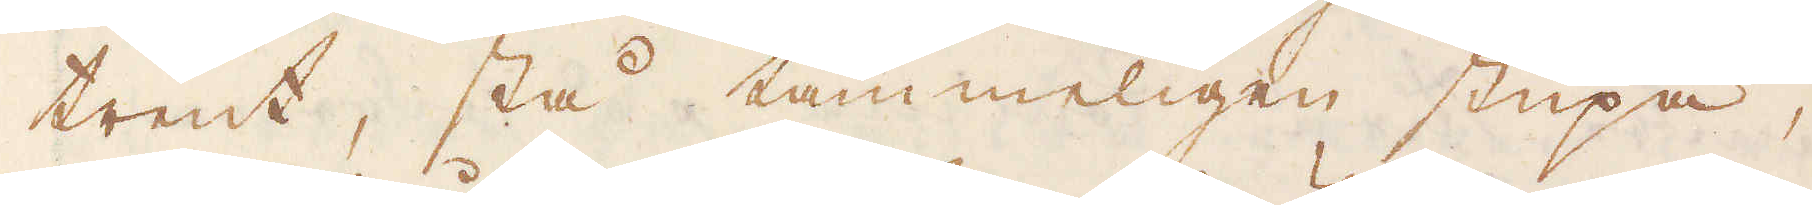trent, stå tämmeligen stupa,
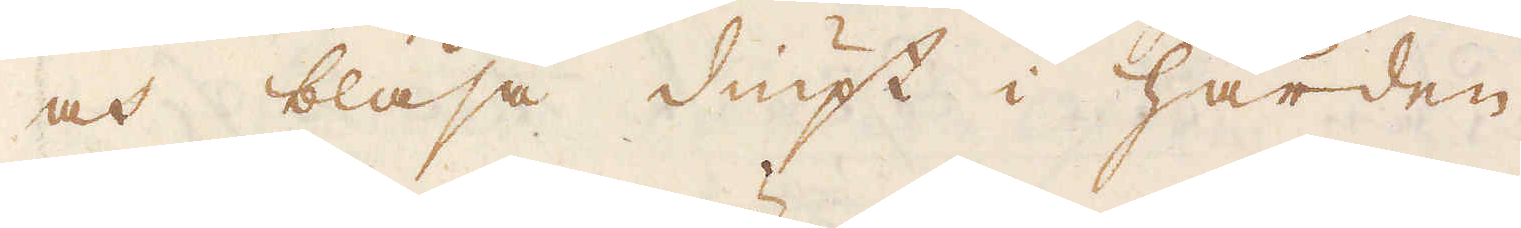och blåsa diupt i härden.
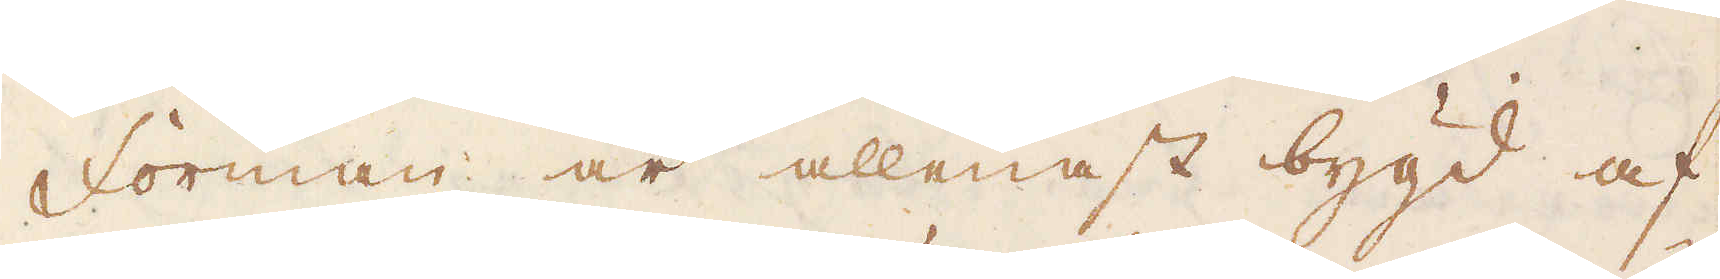Forman är allenast bygd af
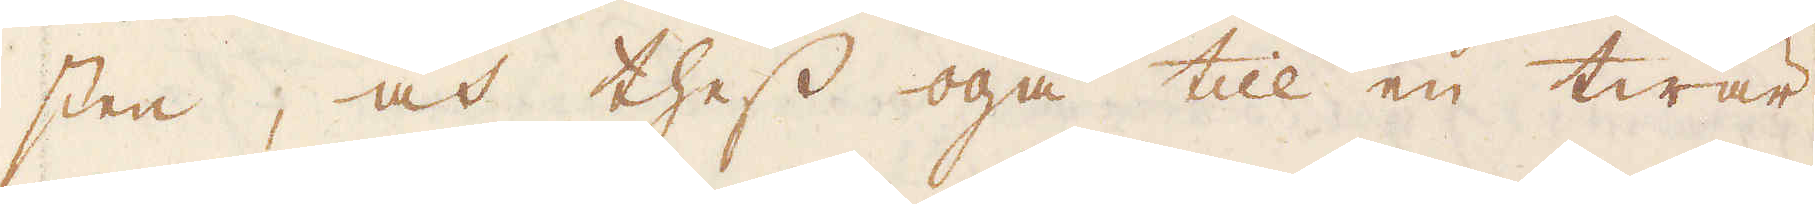sten, och thess öga till en twär
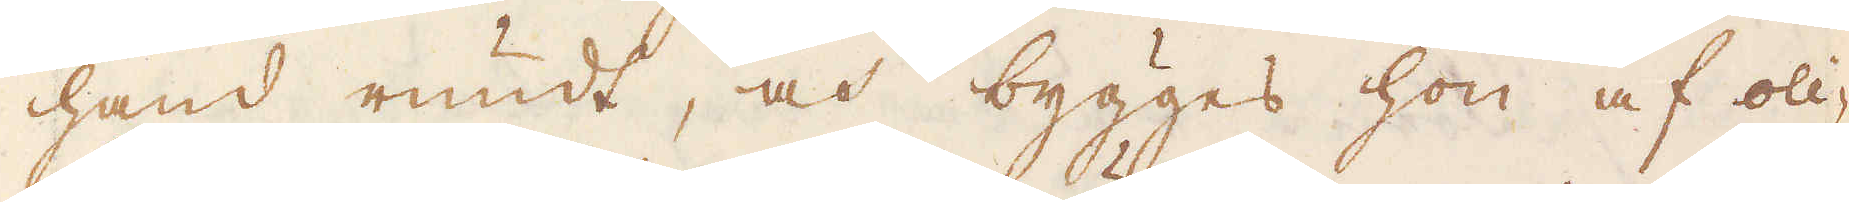hand rundt, och bygges hon af oli-
